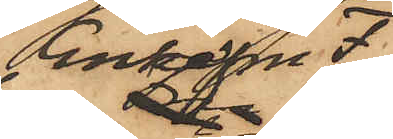Enkefru F
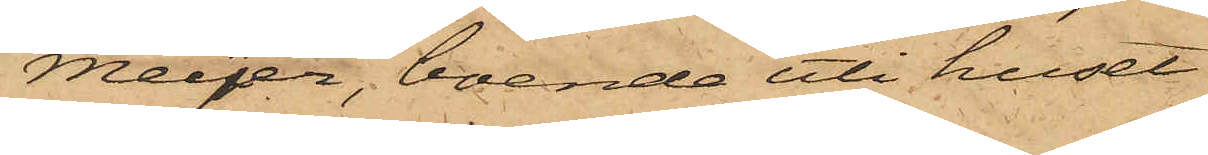Meyer, boende uti huset
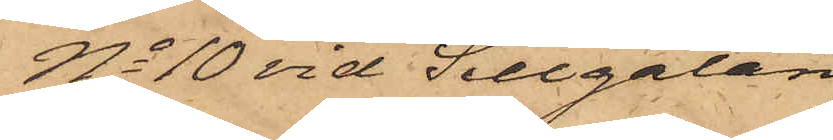No 10 vid Sillgatan,
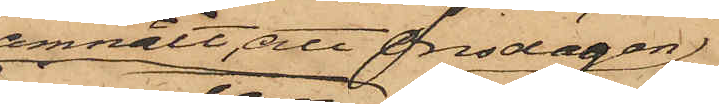anmält, att Onsdagen
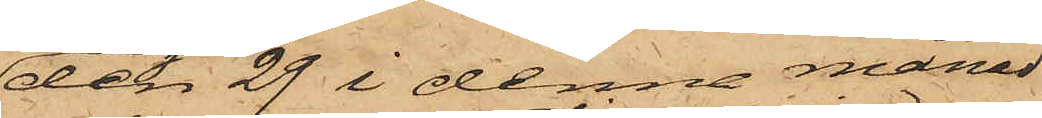den 29 i denna månad
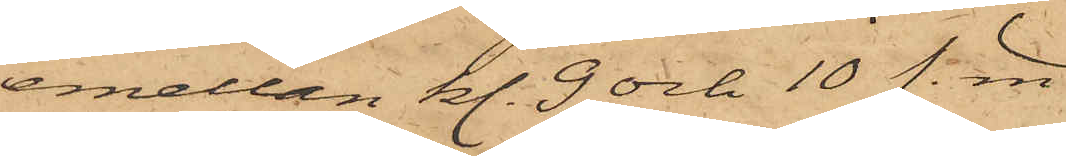emellan kl. 9 och 10 f. m.
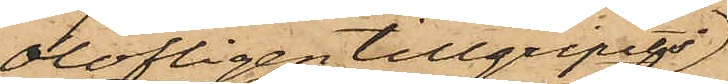olofligen tillgripits
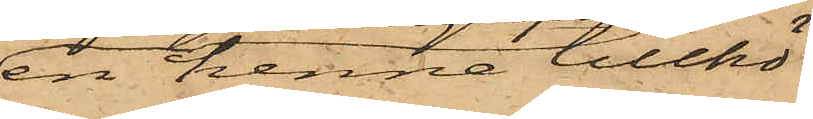en henne tillhö¬
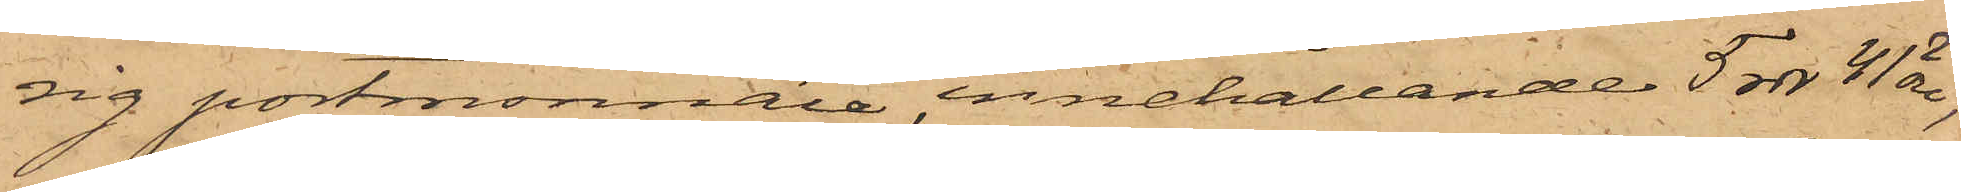sig portmonnaie, innehållande 5 rdr 41 öre,
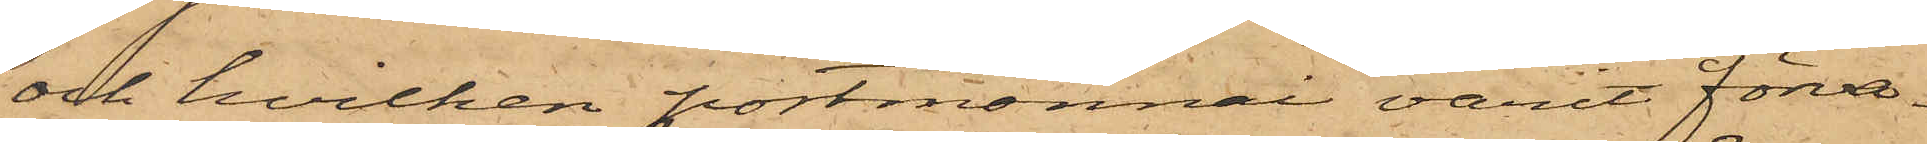och hvilken portmonnai varit förva¬
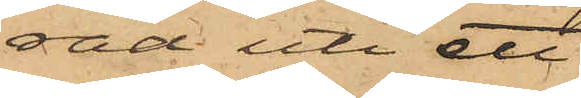rad uti ett
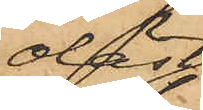olåst
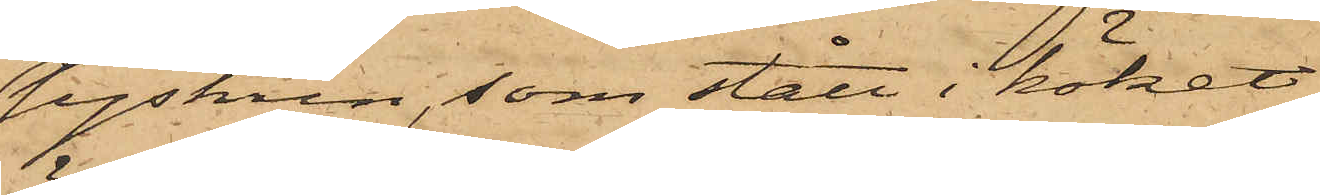syskrin, som stått i köket
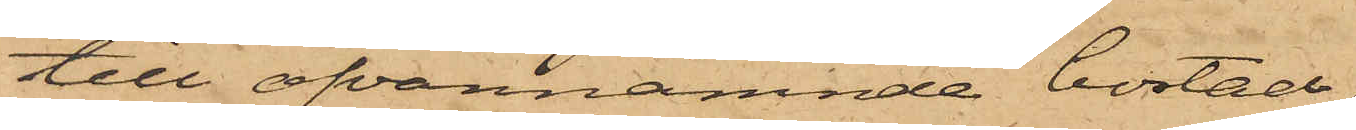till ofvannämnde bostad,
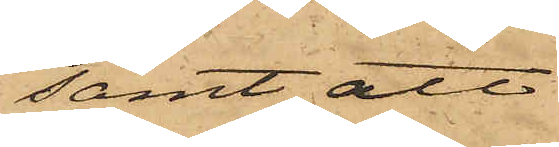samt att
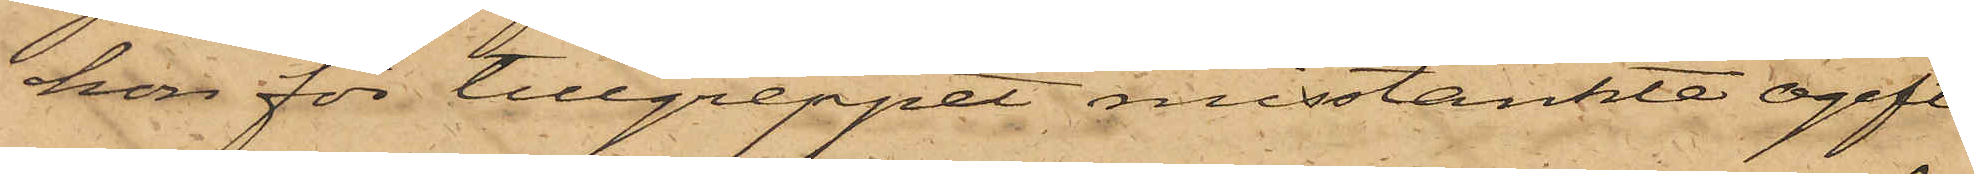hon för tillgreppet misstänkte ogifta
